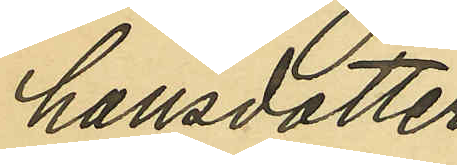hansdotter
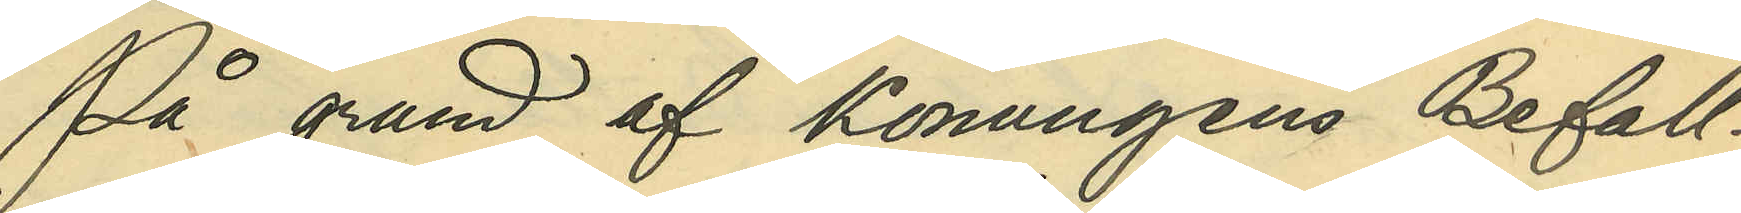På grund af Konungens Befall¬
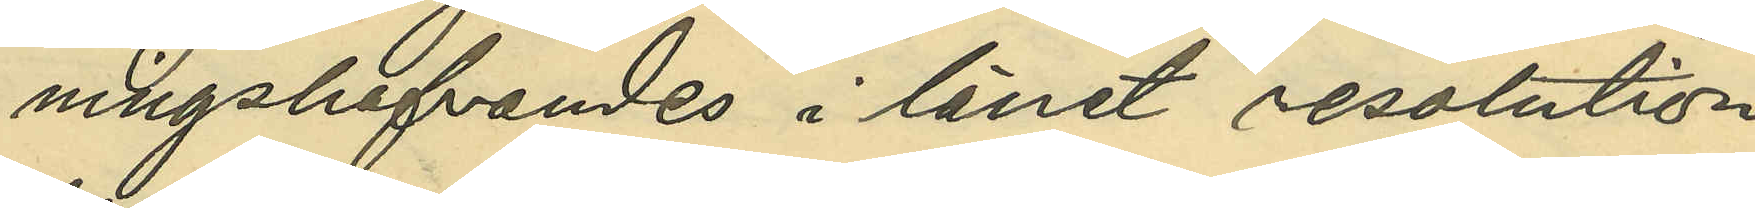ningshafvandes i länet resolution
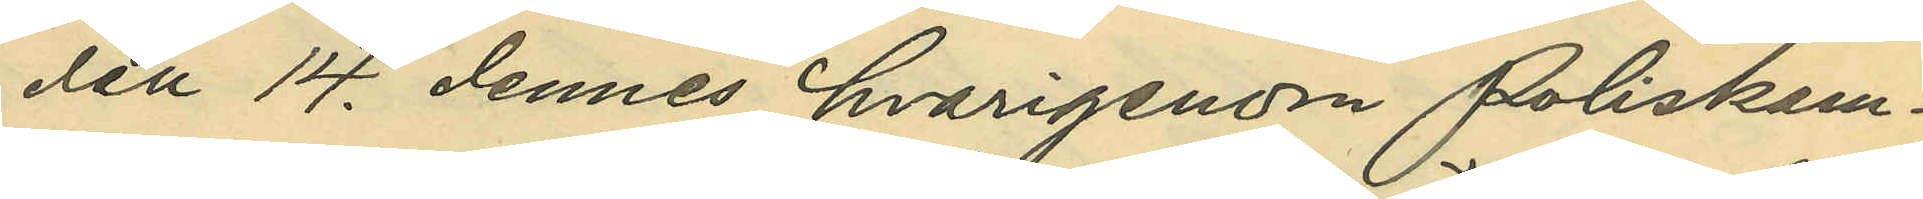den 14. dennes, hvarigenom Poliskam¬
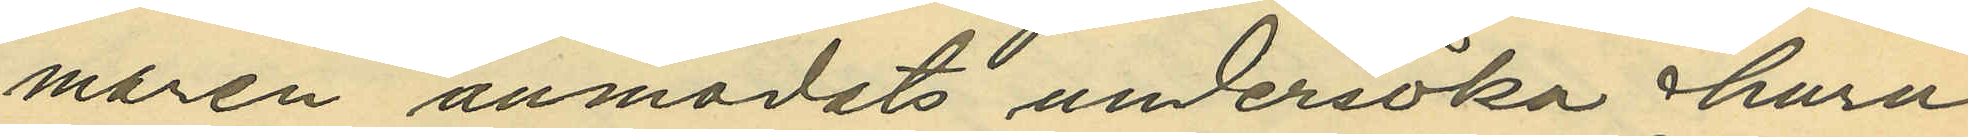maren anmodats undersöka huru
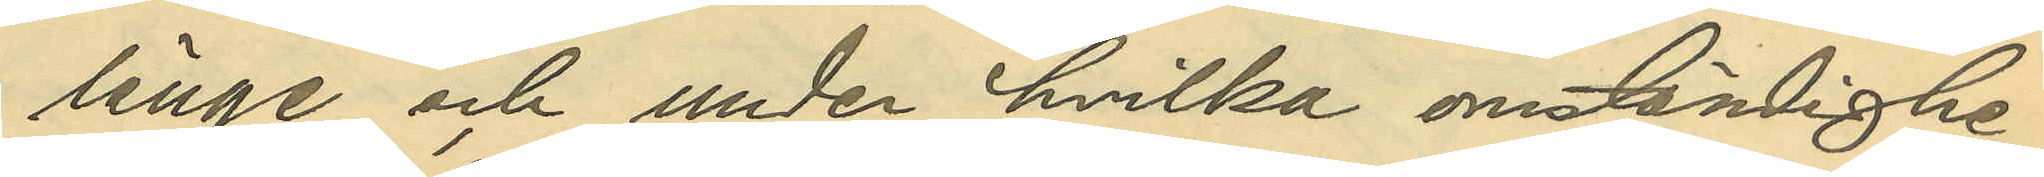länge och under hvilka omständighe¬
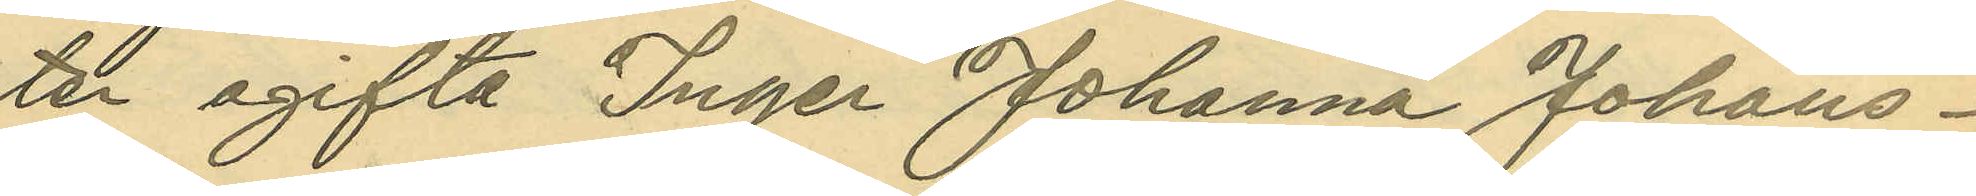ter ogifta Inger Johanna johans¬
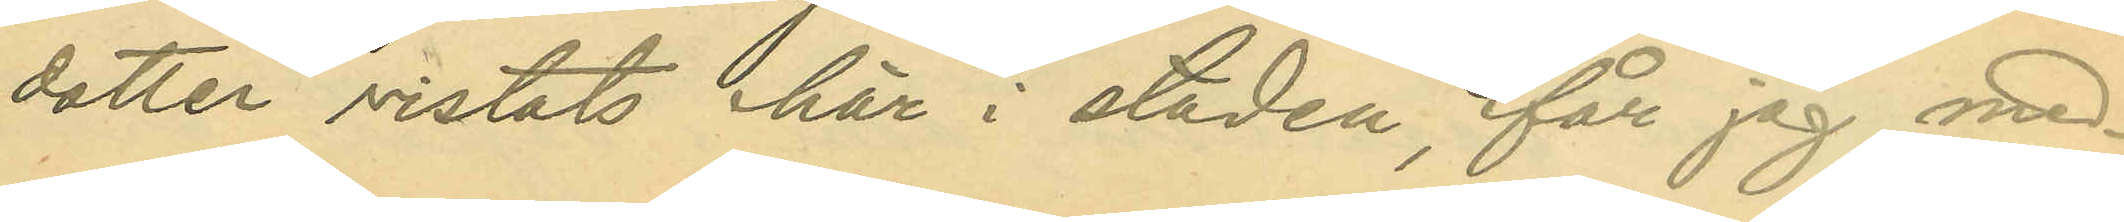dotter vistats här i staden, får jag med¬
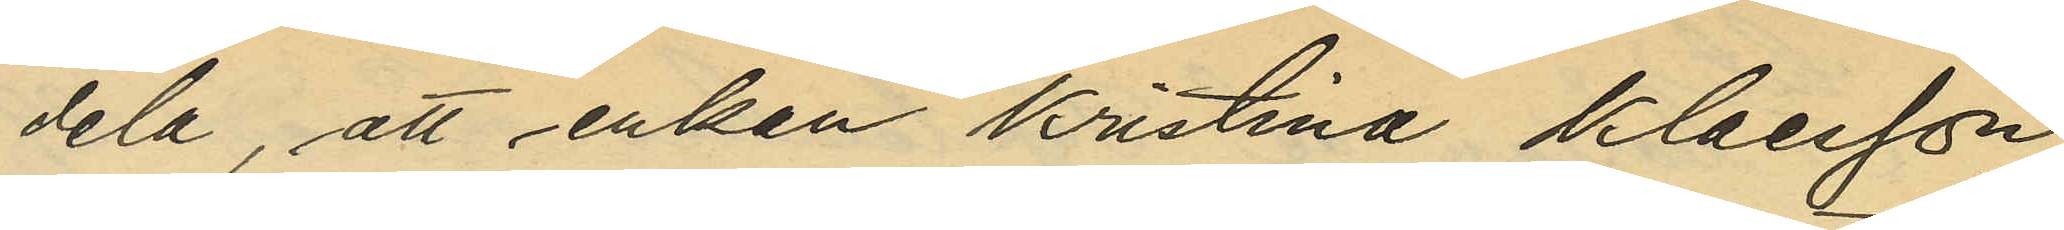dela, att enkan Kristina Klaesson,
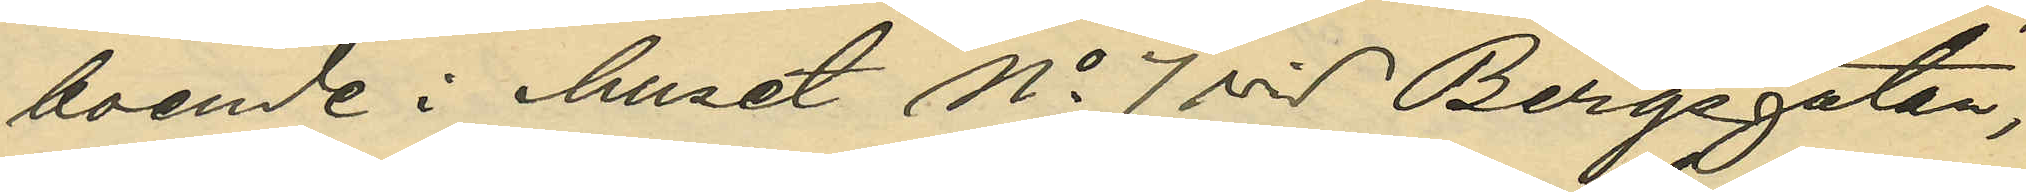boende i huset No 7 vid Bergsgatan,
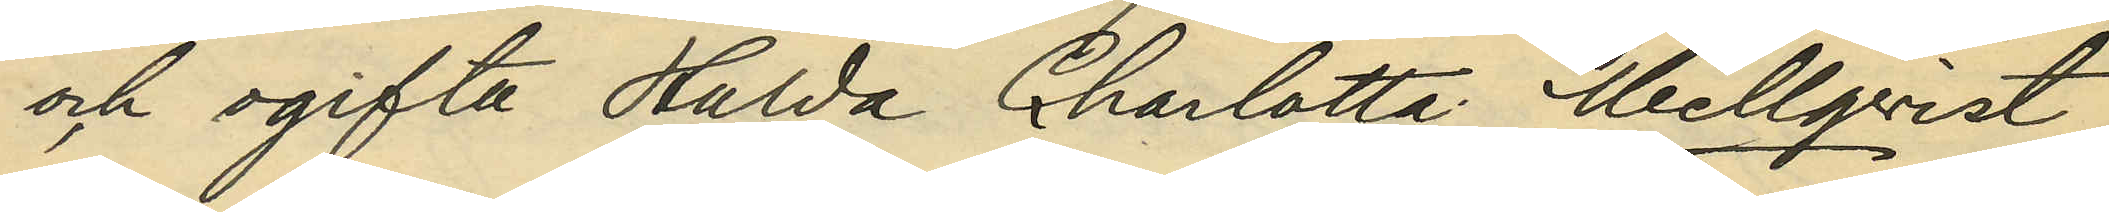och ogifta Hulda Charlotta Mellqvist,
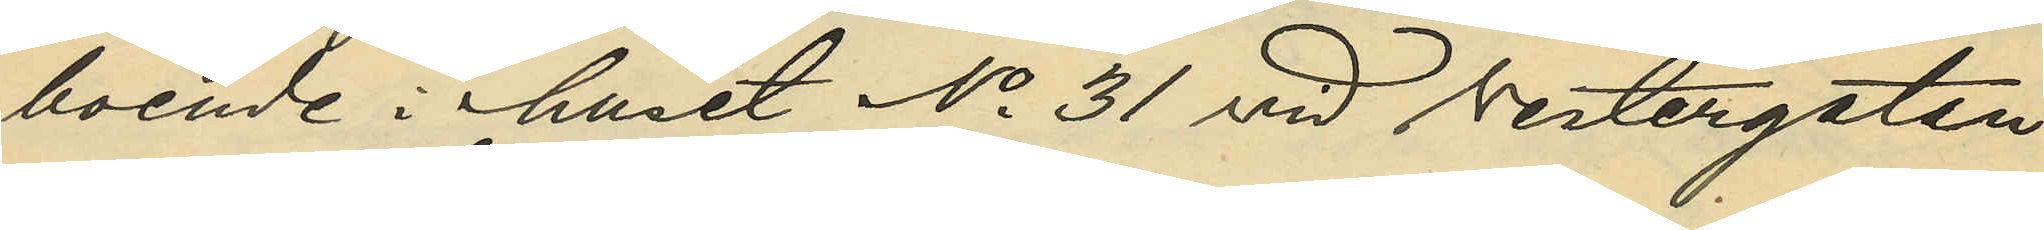boende i huset No 31 vid Vestergatan
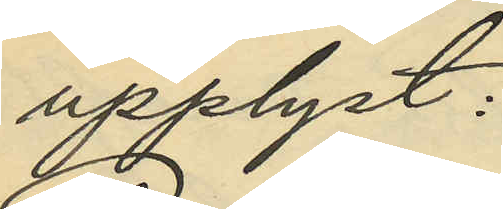upplyst:
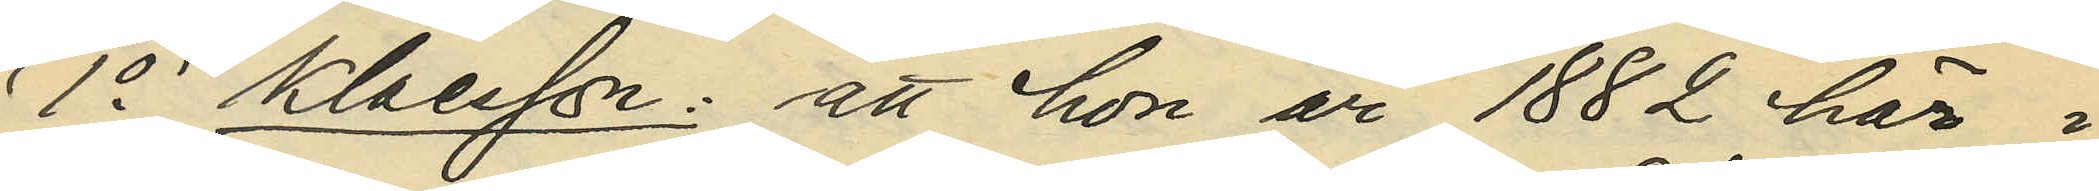1o Klaesson: att hon år 1882 här i
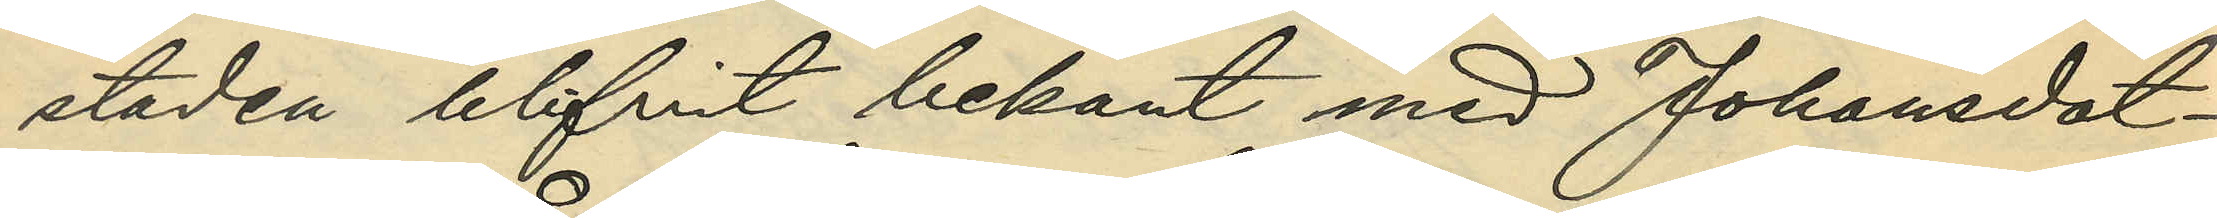staden blifvit bekant med Johansdot¬
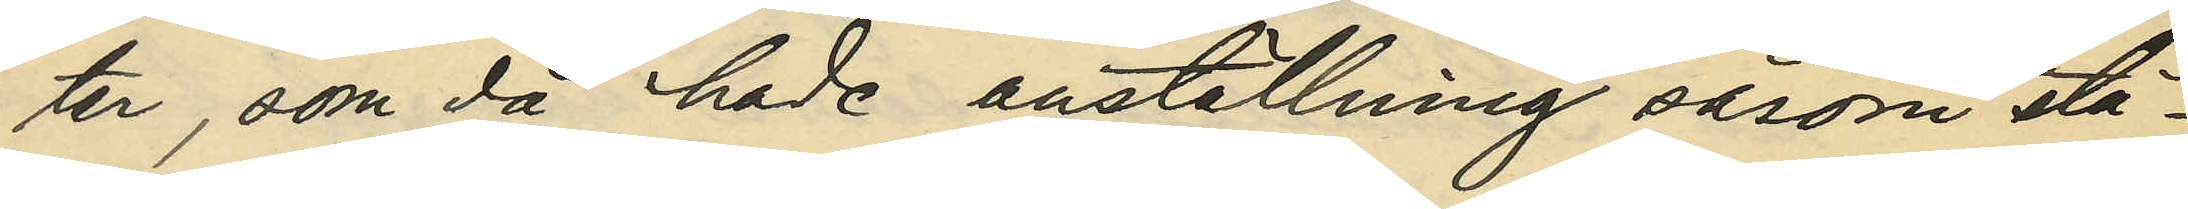ter, som då hade anställning såsom stä¬
